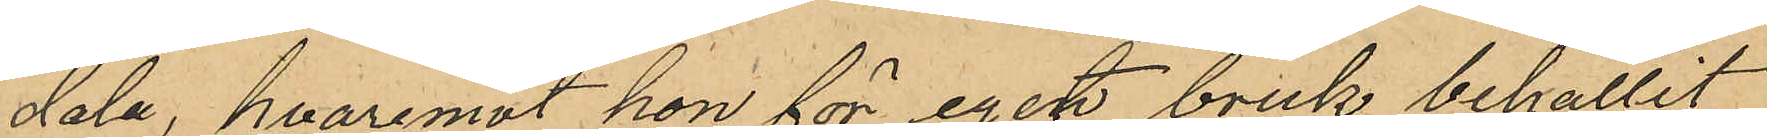dala, hvaremot hon för eget bruk behållit
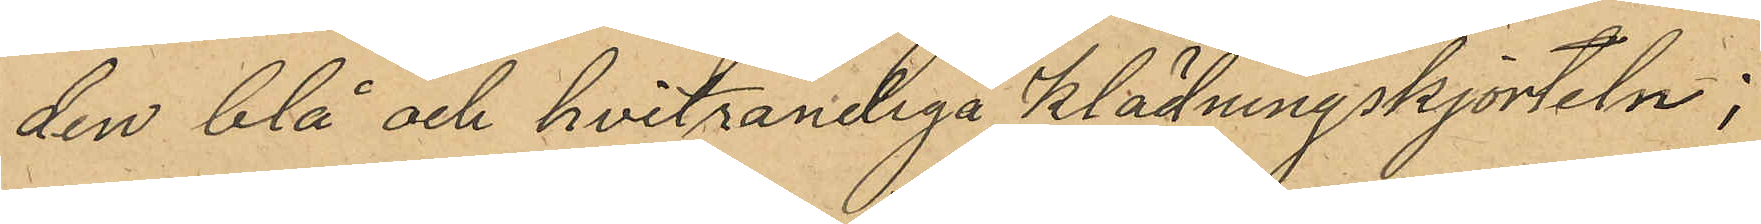den blå och hvitrandiga klädningskjorteln;
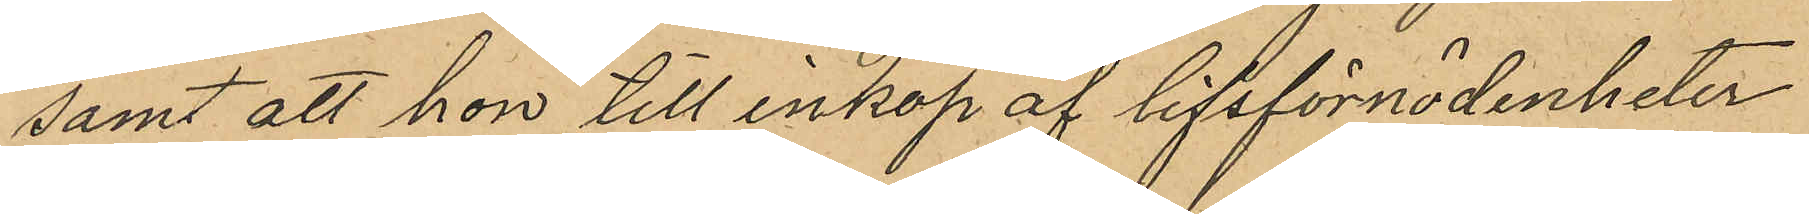samt att hon till inköp af lifsförnödenheter
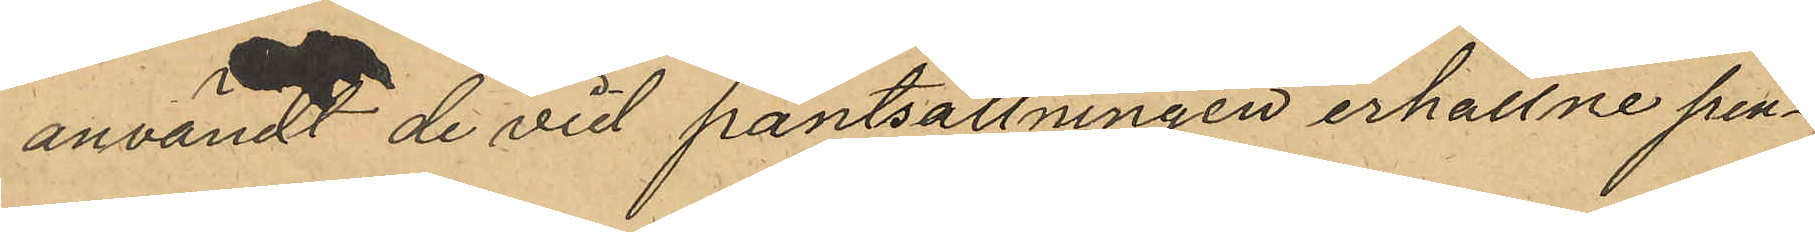användt de vid pantsättningen erhållne pen¬
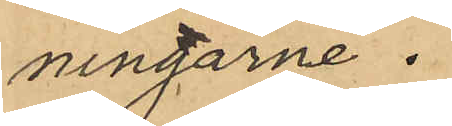ningarne.
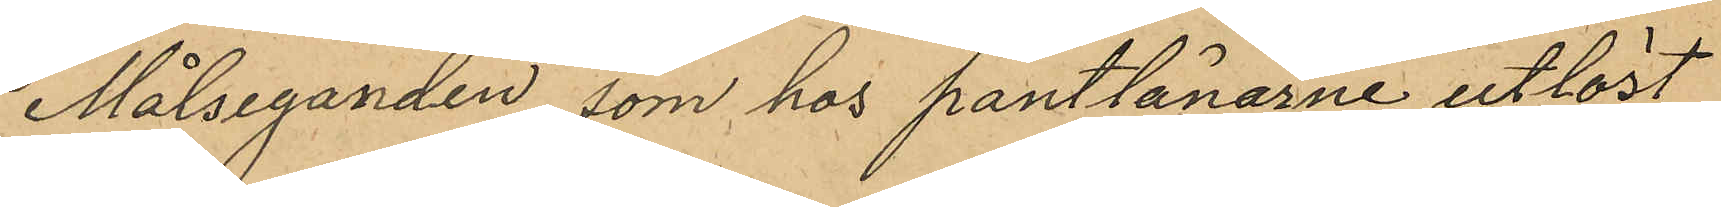Målseganden, som hos pantlånarne utlöst
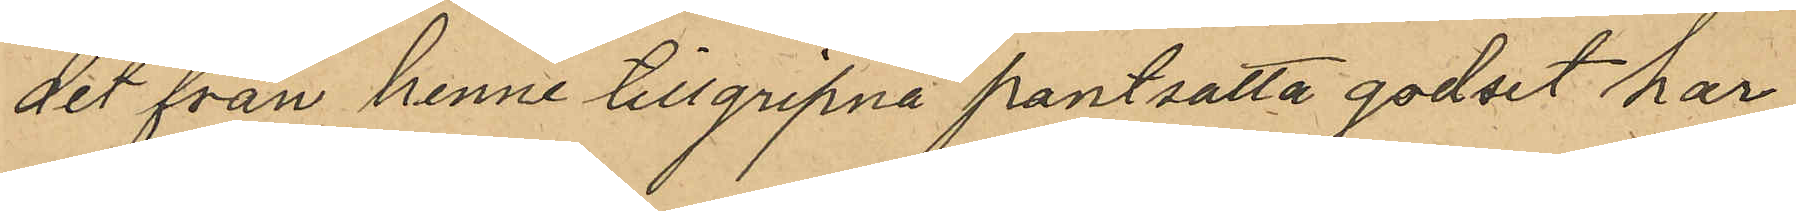det från henne tillgripna pantsatta godset har
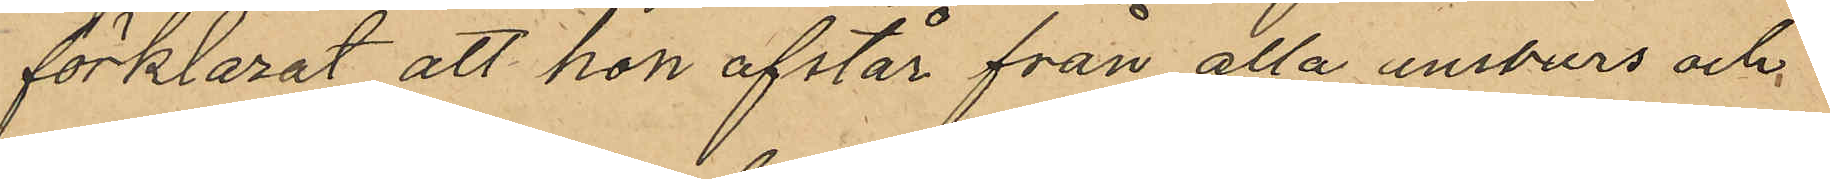förklarat att hon afstår från alla ansvars och
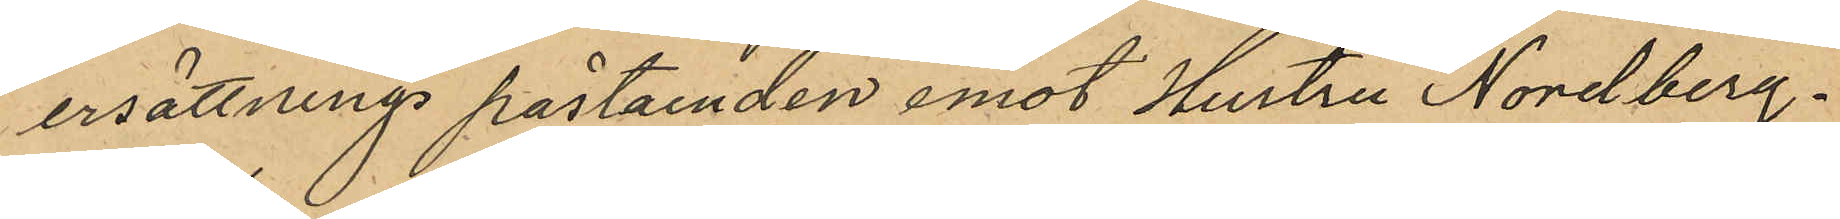ersättnings påstaenden emot Hustru Nordberg.
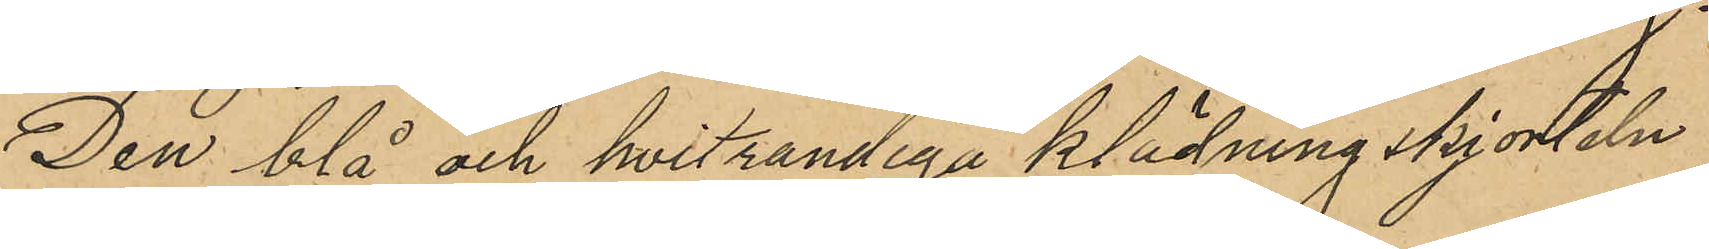Den blå och hvitrandiga klädningskjorteln
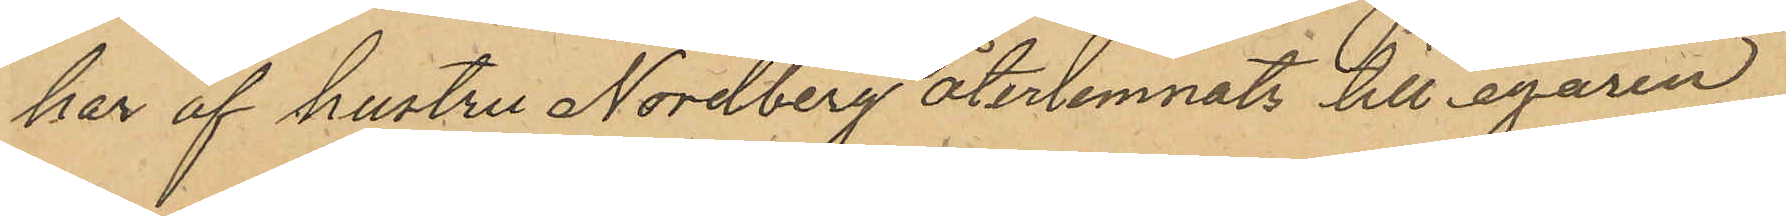har af hustru Nordberg återlemnats till egaren
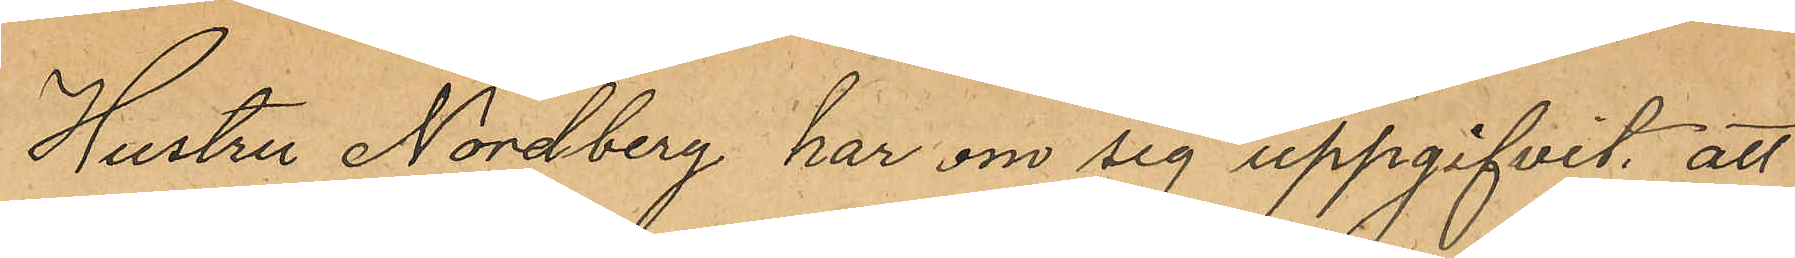Hustru Nordberg har om sig uppgifvit, att
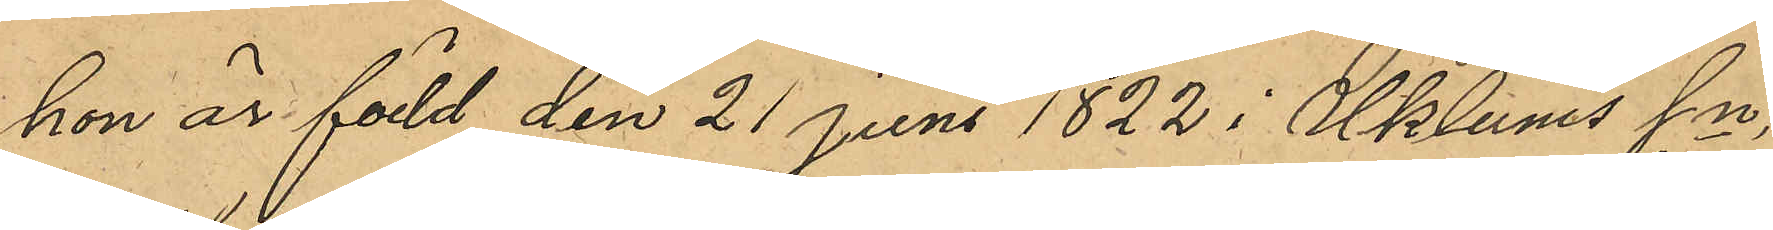hon är född den 21 Juni 1822 i Uklums sn,
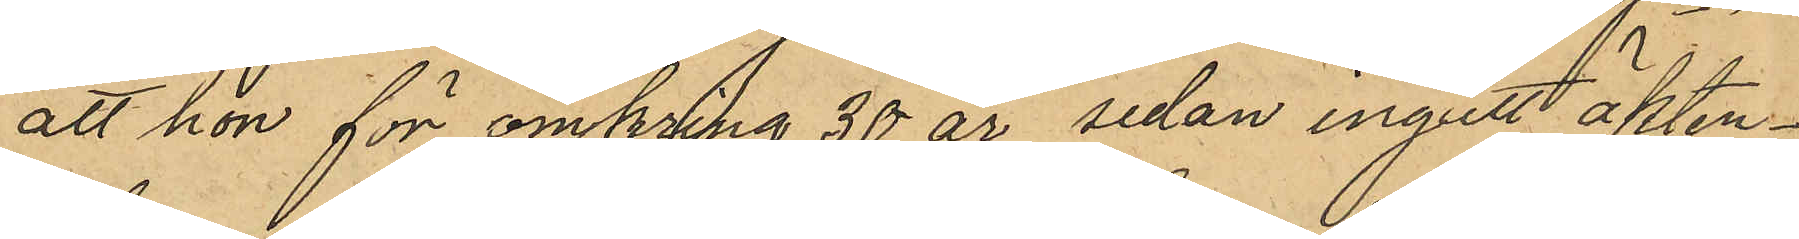att hon för omkring 30 år sedan ingått äkten¬
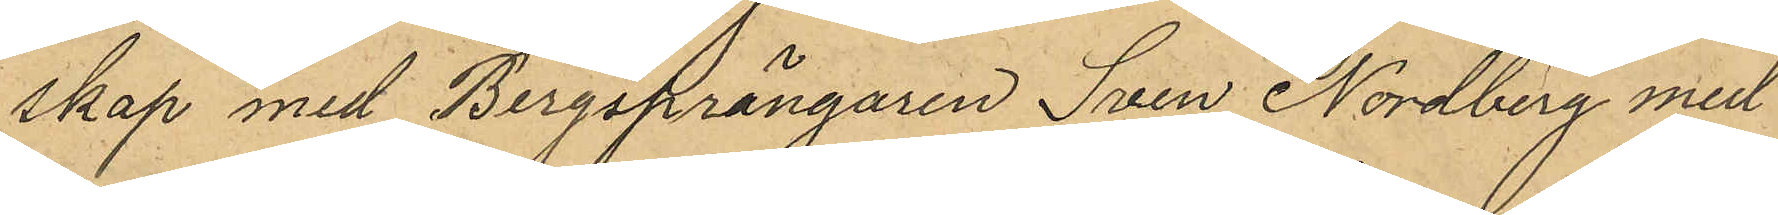skap med Bergsprängaren Sven Nordberg med
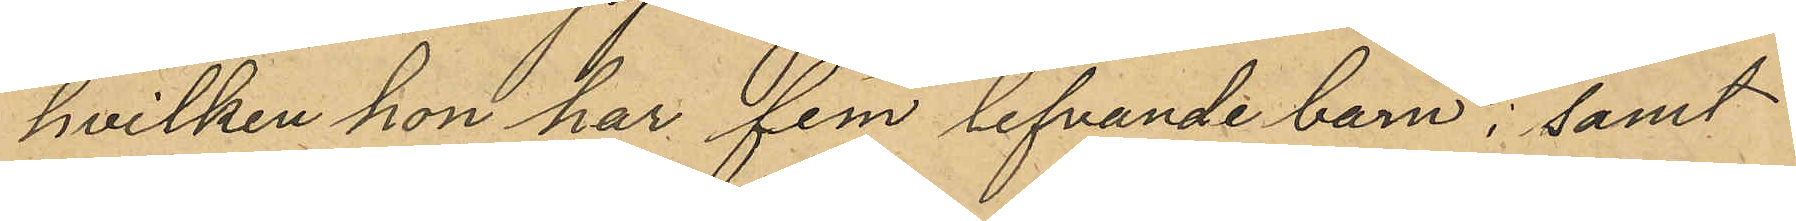hvilken hon har fem lefvande barn, samt
